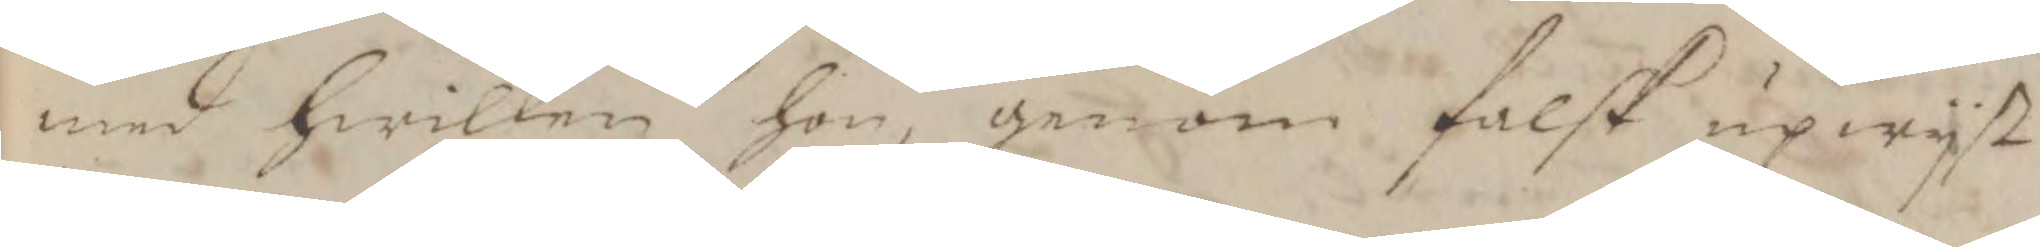med hwilken hon, genom falsk upwijst
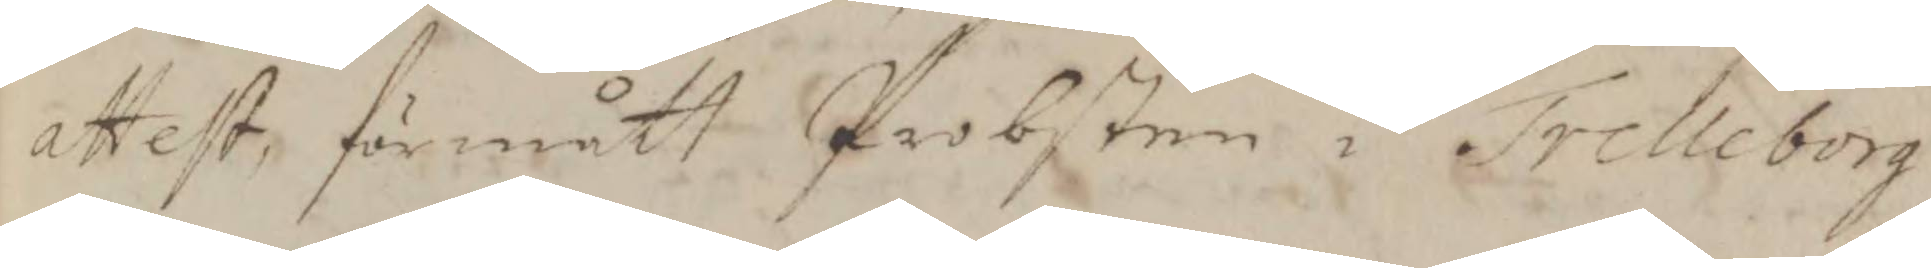attest, förmått Probsten i Trelleborg
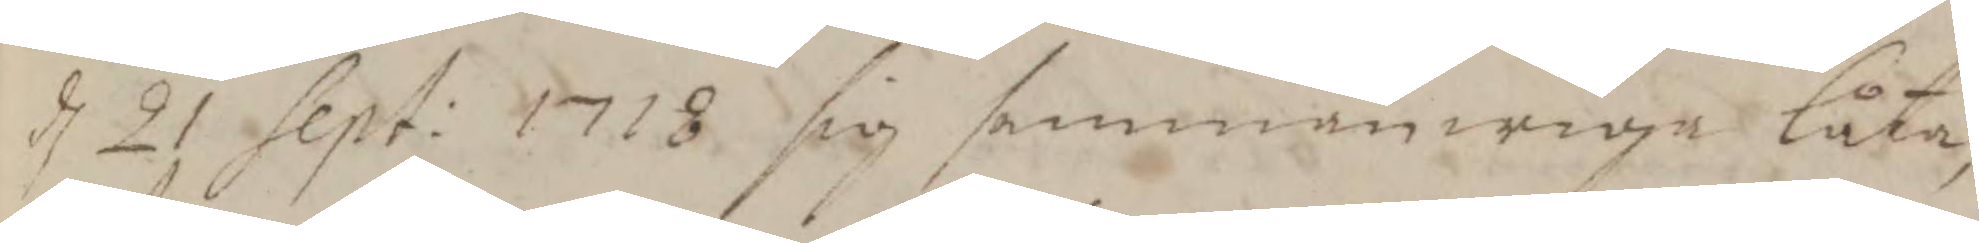d. 21 Sept: 1718 sig sammanwiga låta,
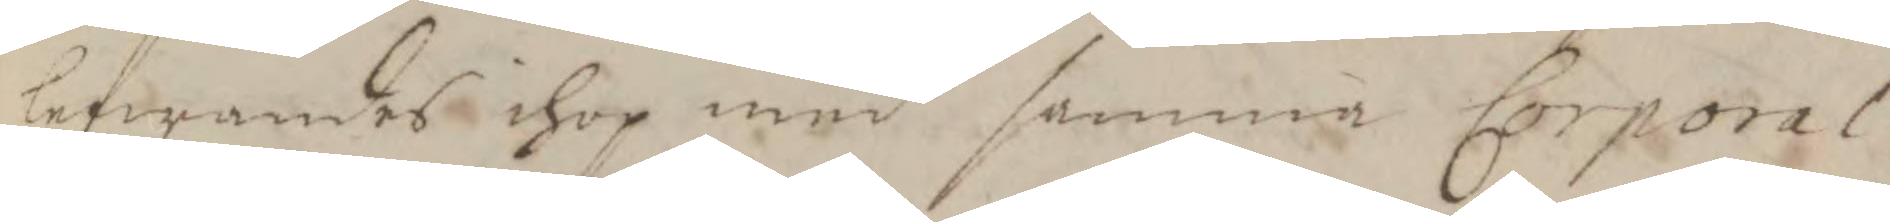lefwandes ihop med samma Corporal
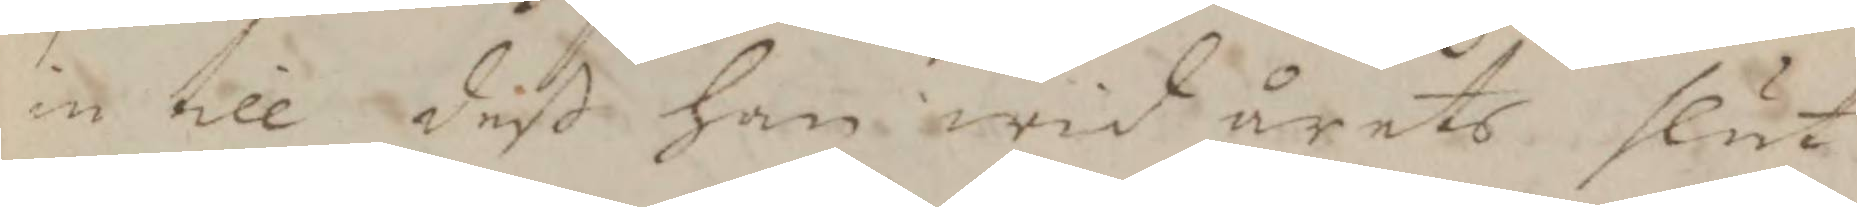in till deß han wid årets slut
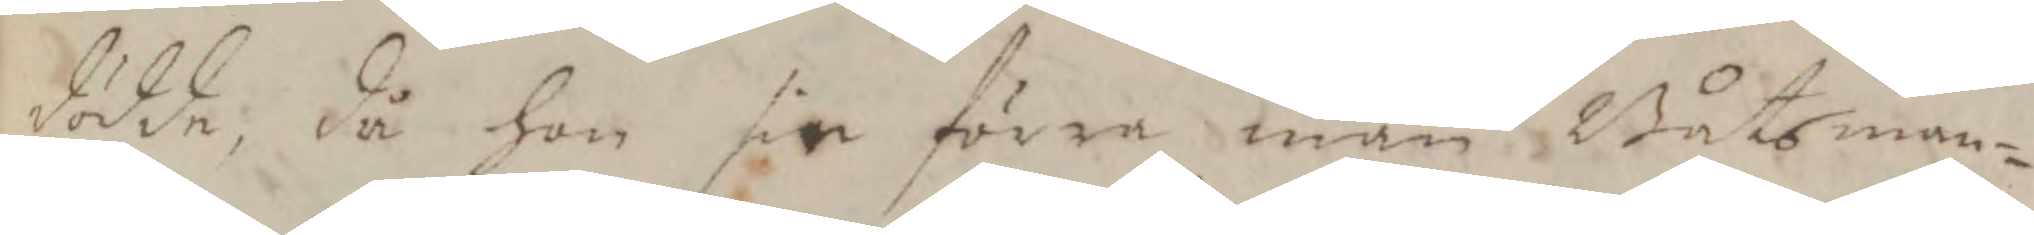dödde, då hon sin förra man Båtsman¬
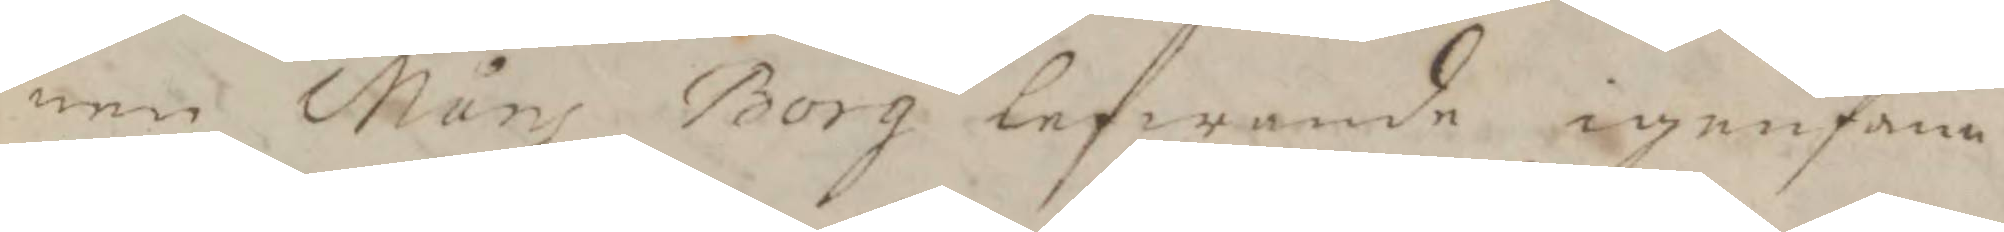nen Måns Borg lefwande igenfann
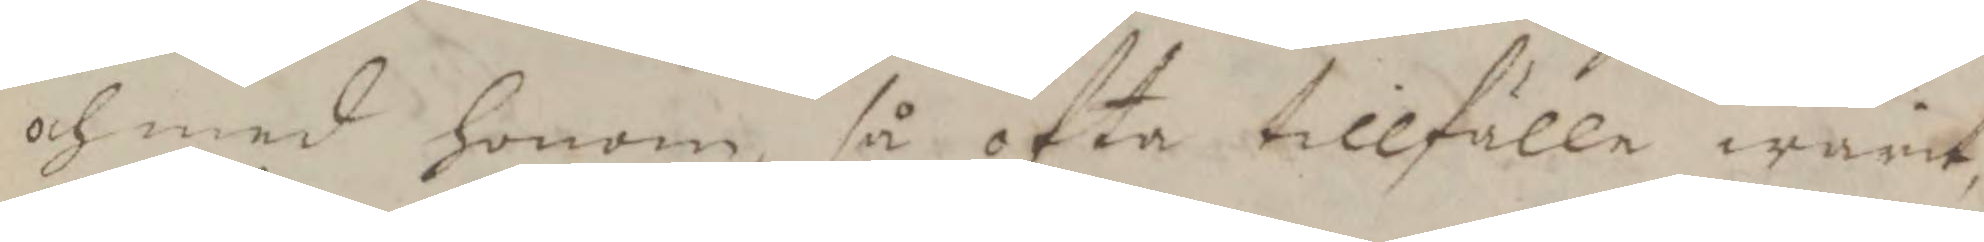och med honom, så ofta tillfälle warit,
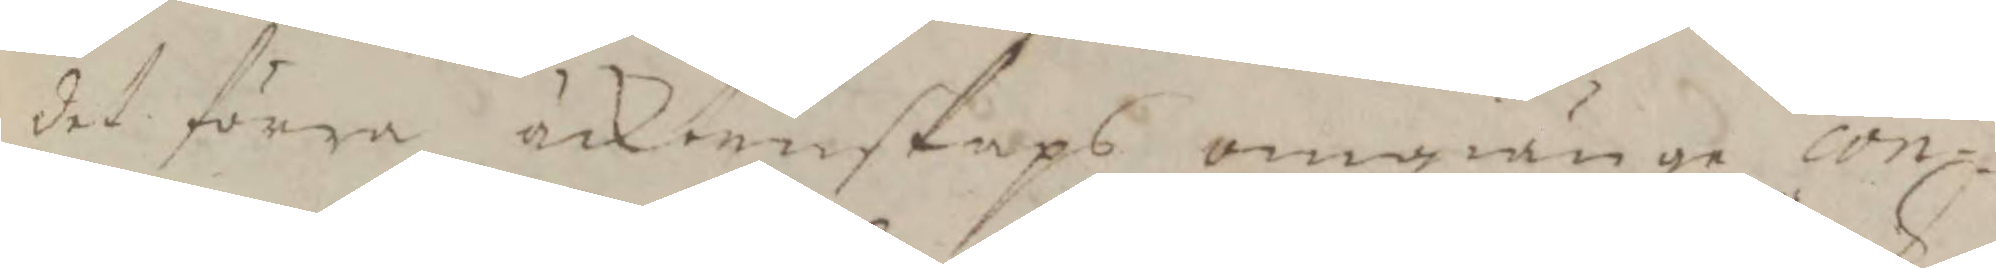det förra äcktenskaps omgänge con¬
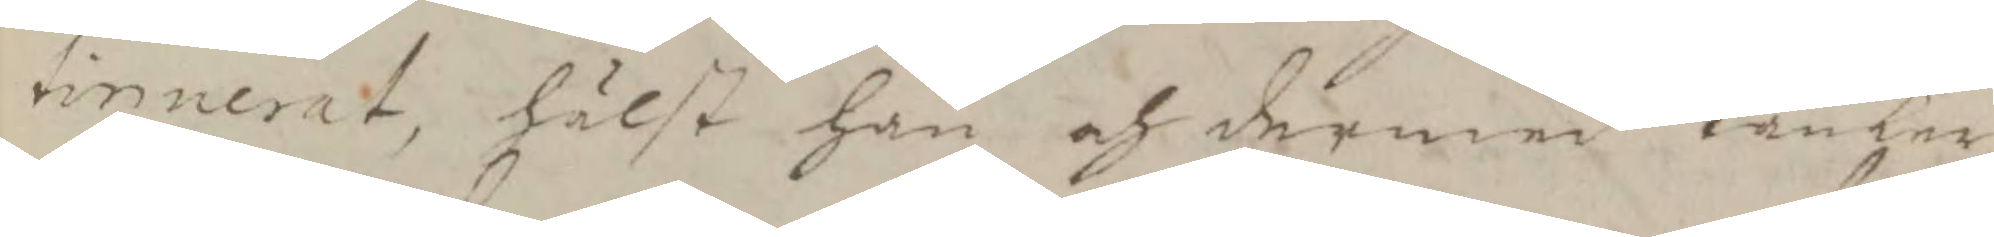tinuerat, hälst han och dermed tänker
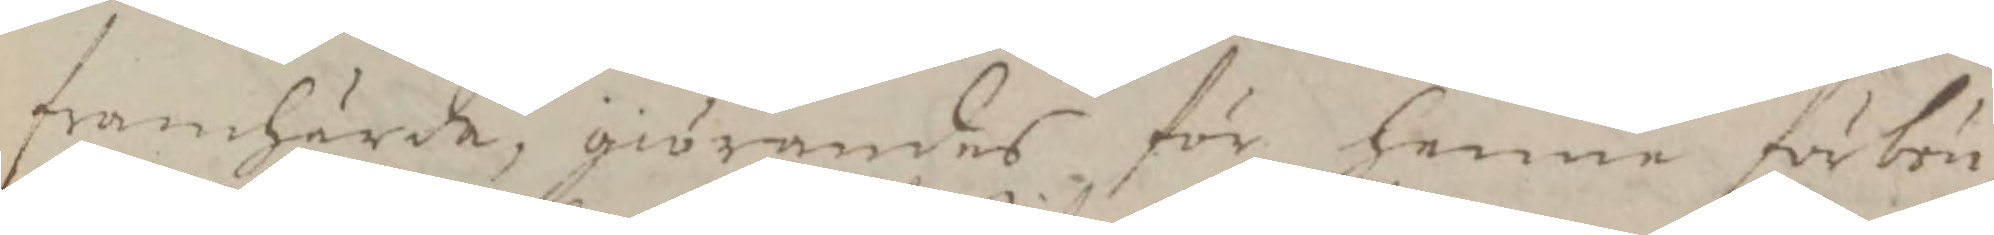framhärda; giörandes för henne förbön.
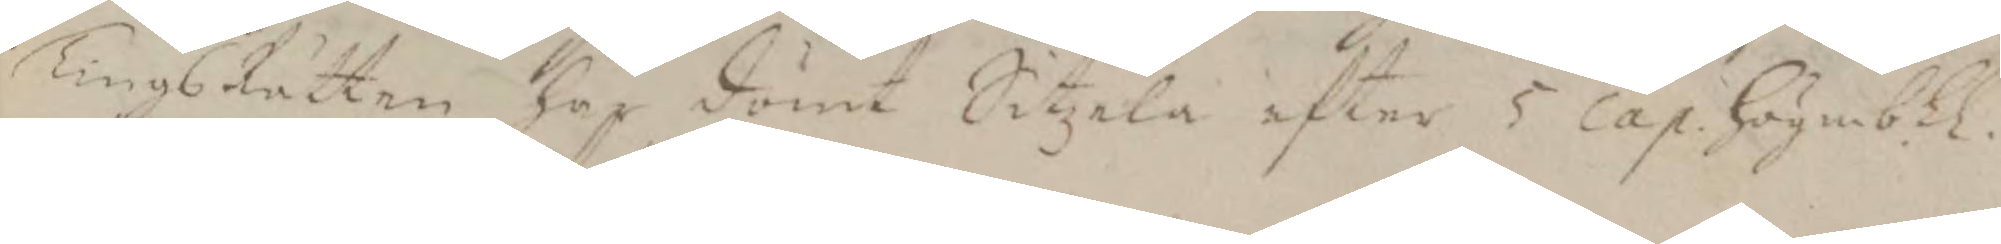TingsRätten har dömt Sitzela efter 5 Cap. högmbl.
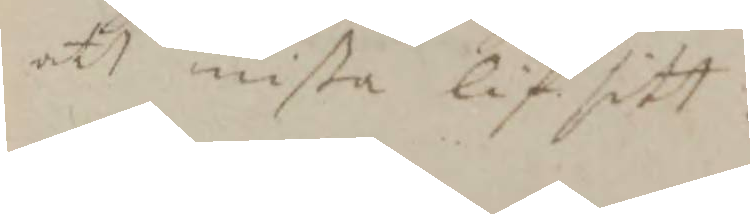att mista lif sitt.
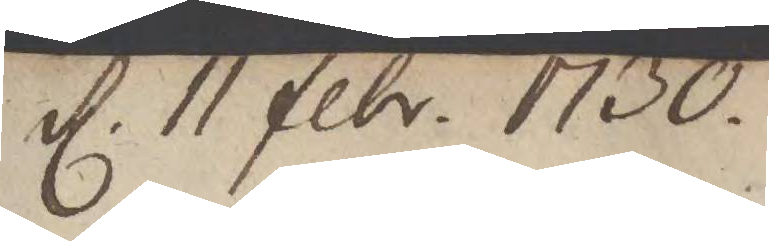d. 11 febr. 1730
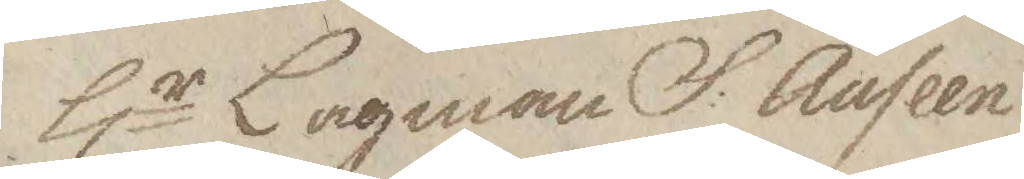Hr Lagman S: Auseen
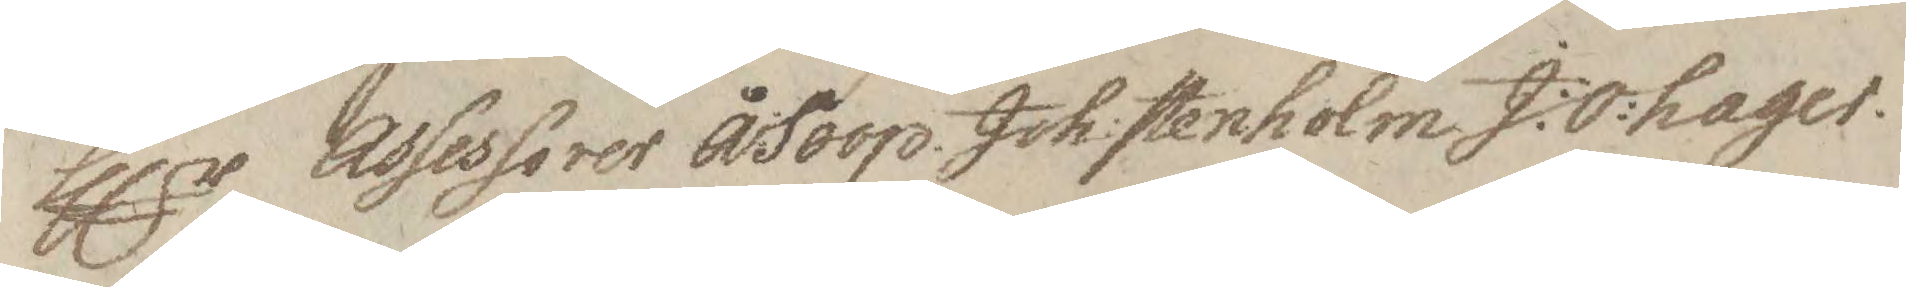Hlr Assessorer Å:Soop. Joh:Stenholm. J:O:hager.
